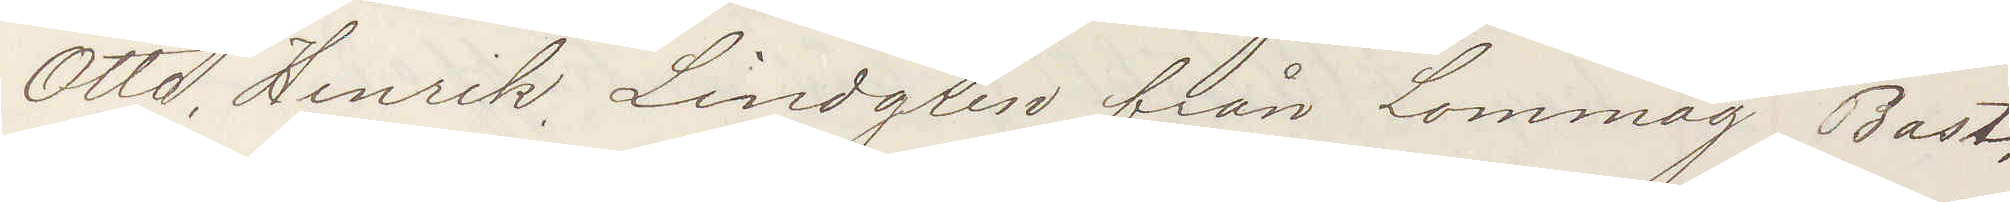Otto Henrik Lindgren från Lommag Bast
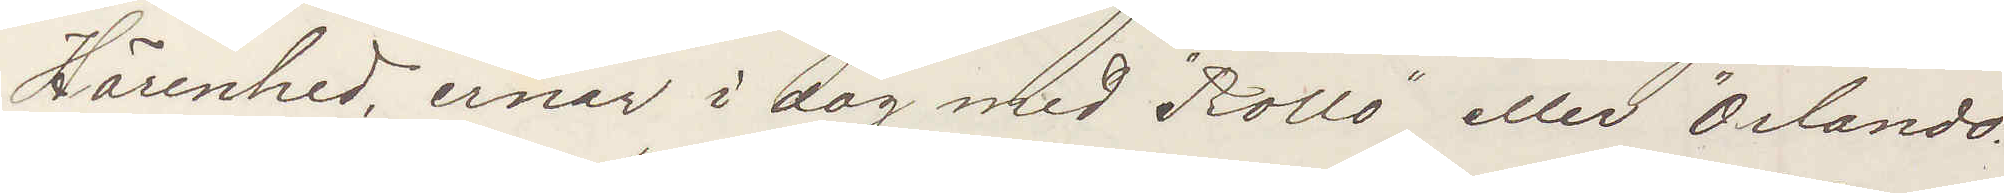Härenhed, ernar i dag med "Rollo" eller "Orlando"
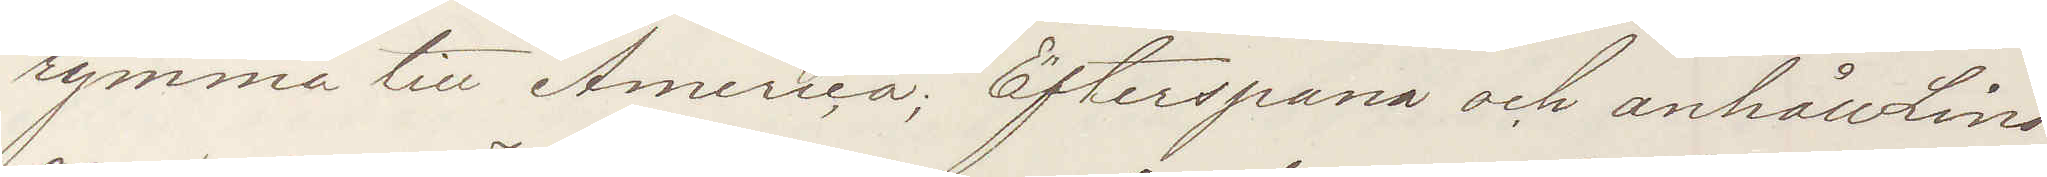rymma till America. Efterspana och anhåll Lind¬
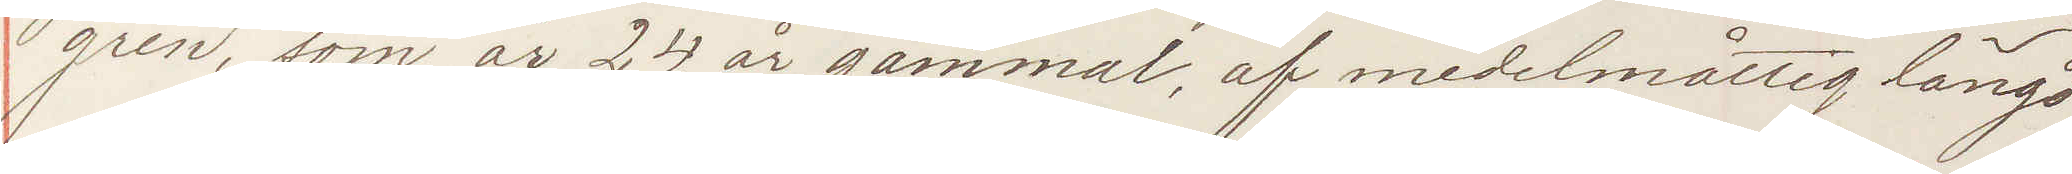gren, som är 24 gammal, af medelmåttig längd
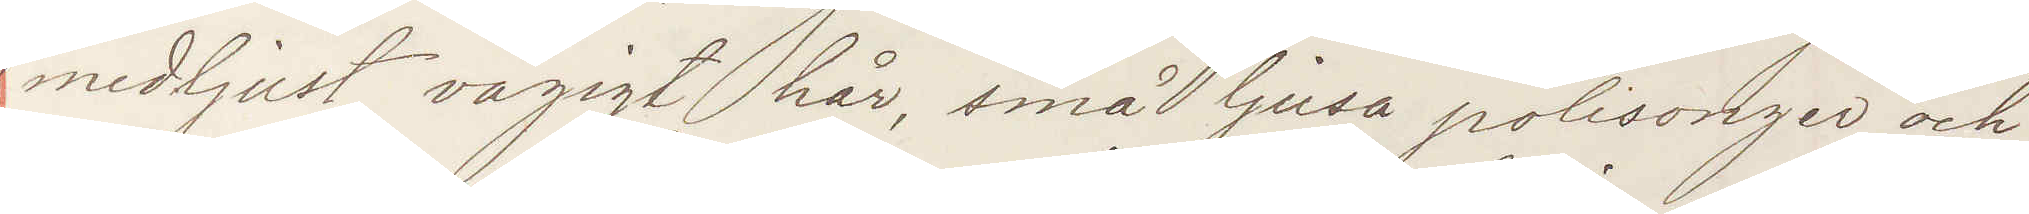med ljust vågigt hår, små ljusa polisonger och
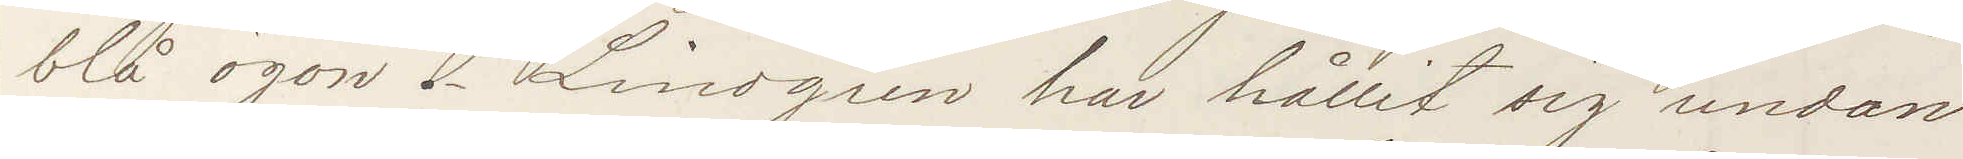blå ögon. Lindgren har hållit sig undan
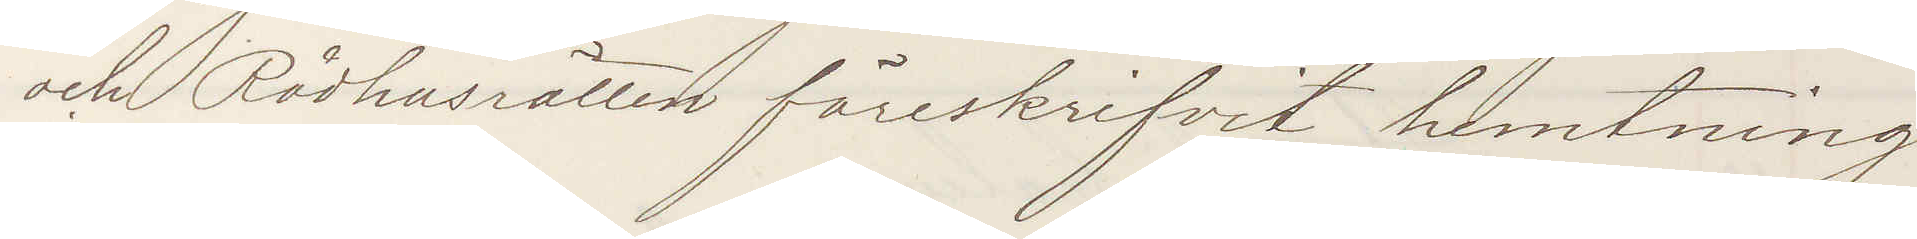och Rådhusrätten föreskrifvit hemtning
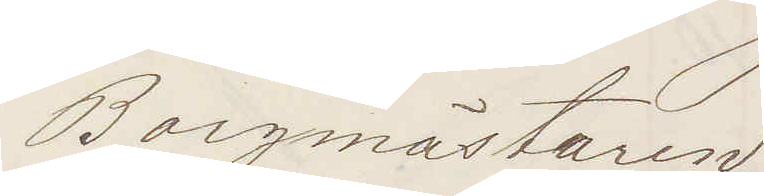Borgmästaren
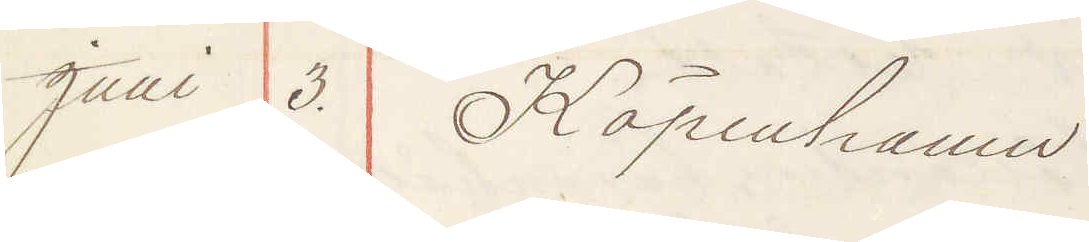Juni 3. Köpenhamn
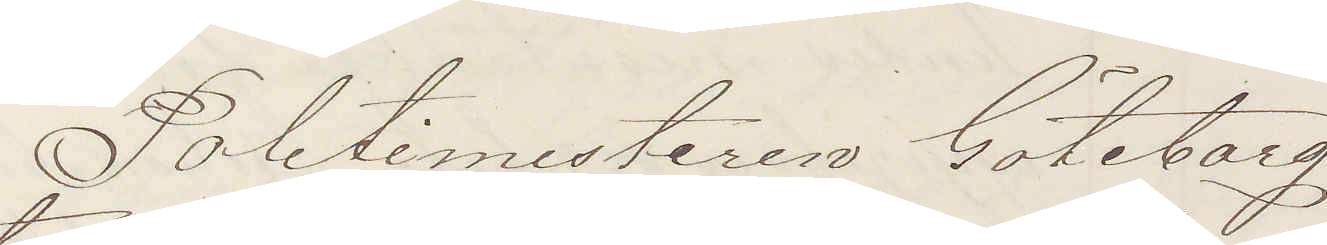Politimesteren Göteborg
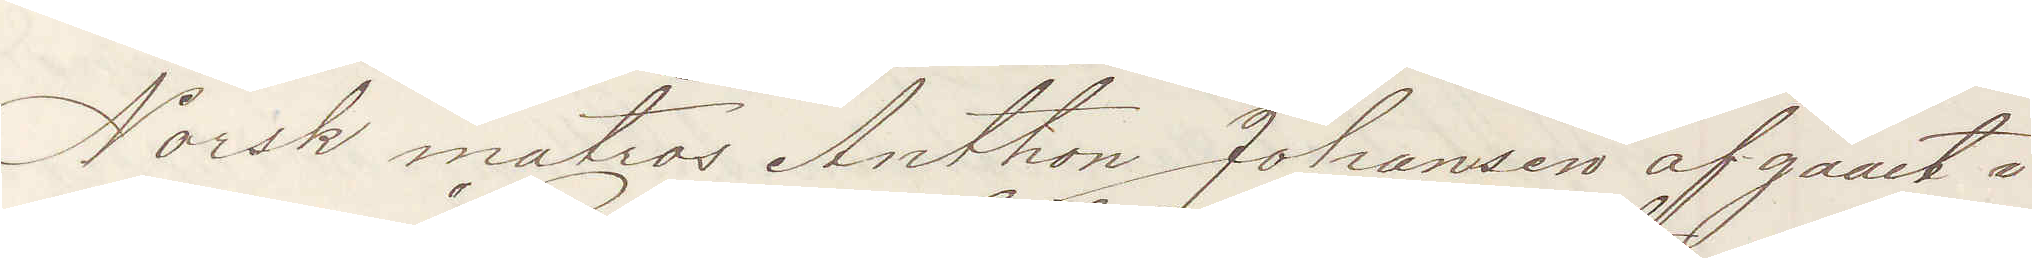Norsk matros Anthon Johansen af gaaet i¬
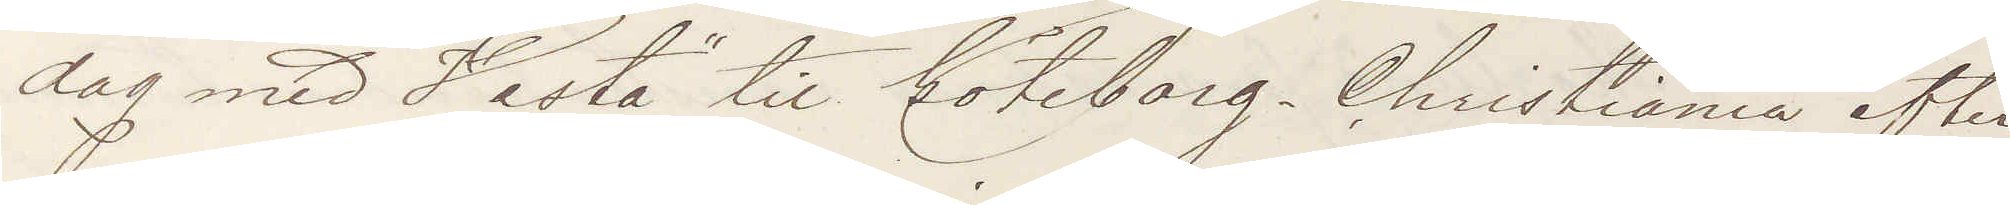dag med "Hesta" til Göteborg Christiania efter
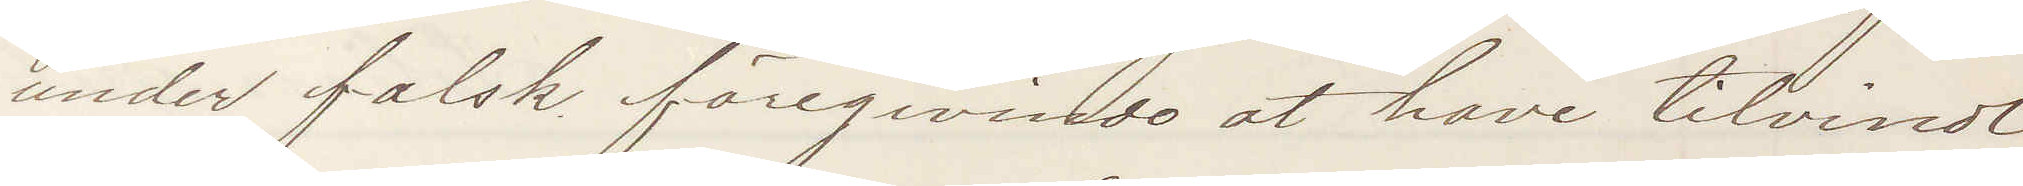under falsk föregivendo at have tilvindt
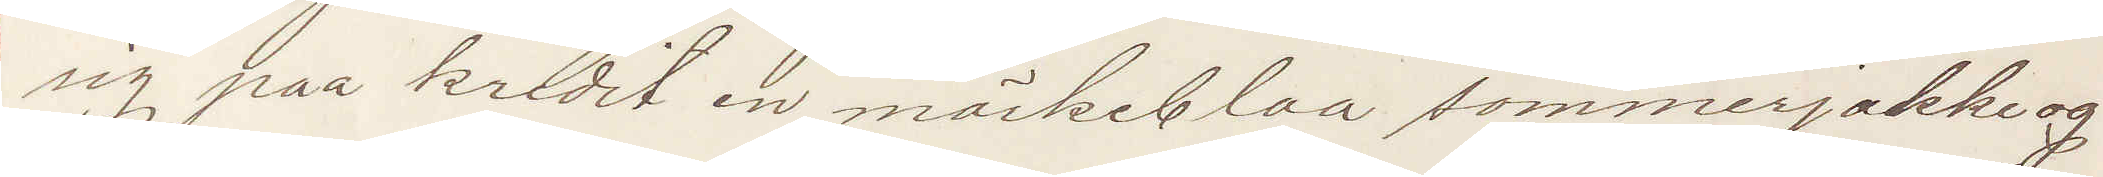sig paa kredit en mörkeblaa sommerjakke og
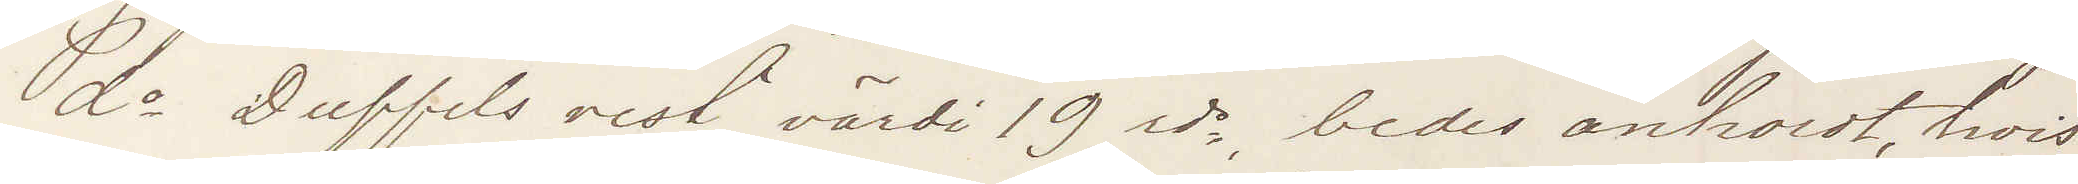do Duffels vest värdi 19 rds, bedes anholdt hvis
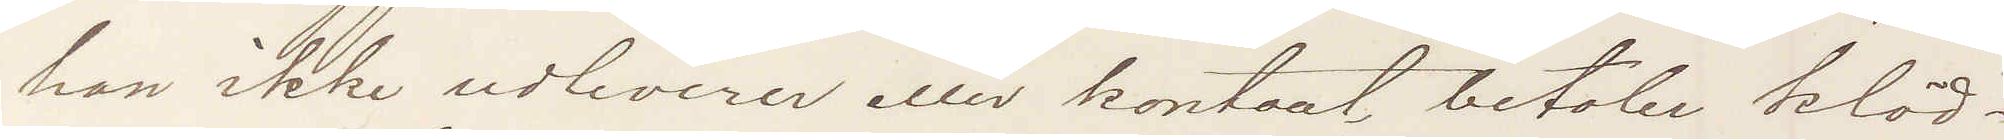han ikke udleverer eller kontant betaler kläd¬
